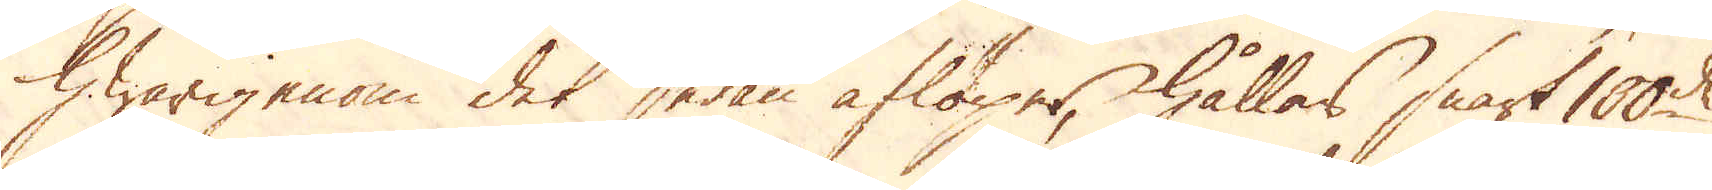hwarigenom det sedan aflöper, hållas snart 100de
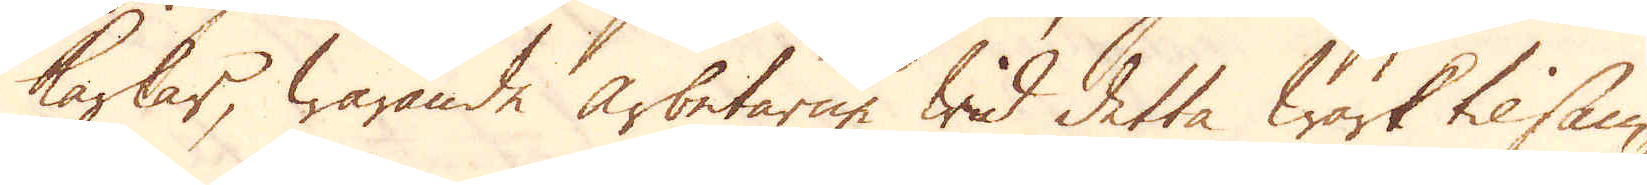karlar, warande arbetarne wid detta Wärk tilsam-
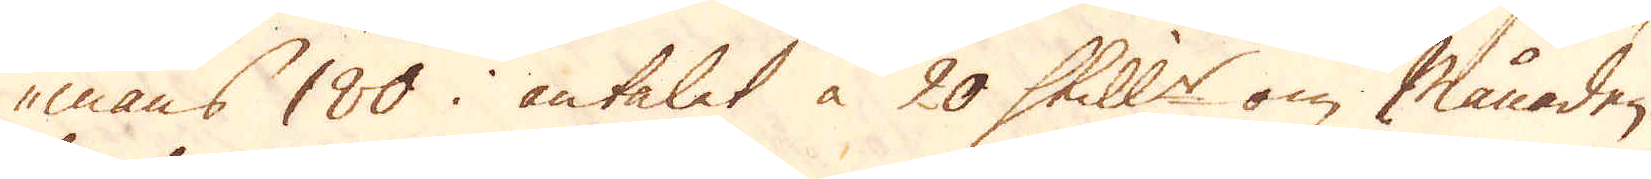mans 180 antalet à 20 Skill:r om månaden.
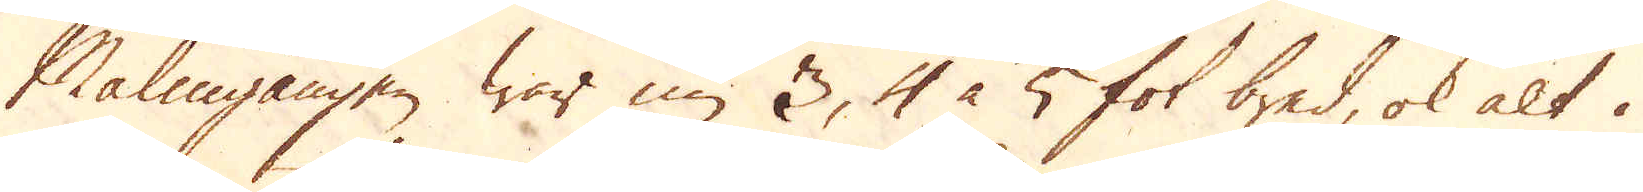Malmgången war nu 3, 4 à 5 fot bred, ok alt i
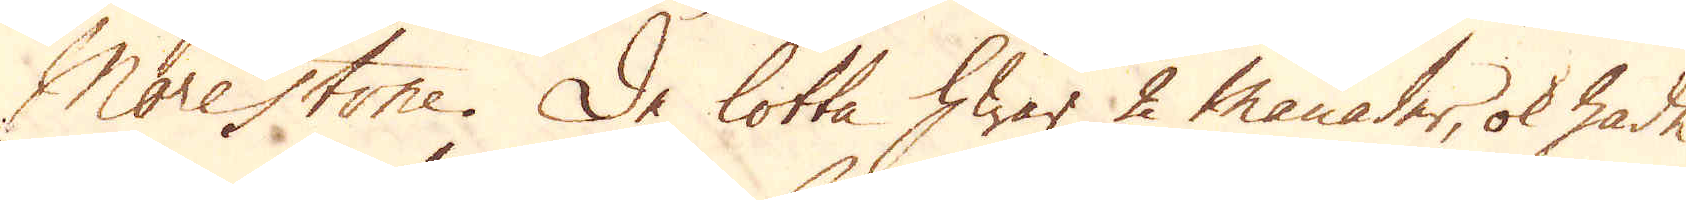Morestone. De lotta hwar 2 månader, ok hade
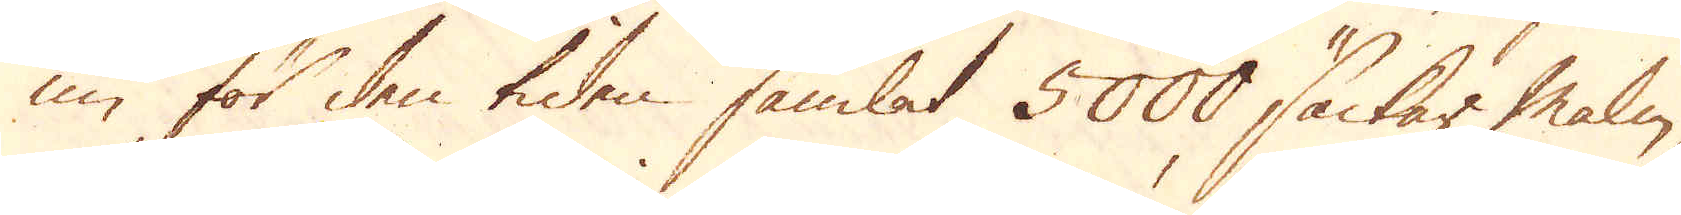nu för den tiden samlat 5000 säckar malm,
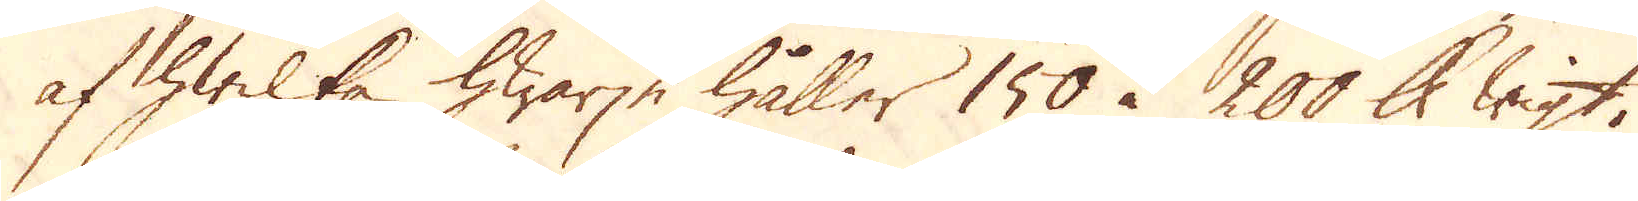af hwilka hwarje håller 150 à 200 skålpund wigt.
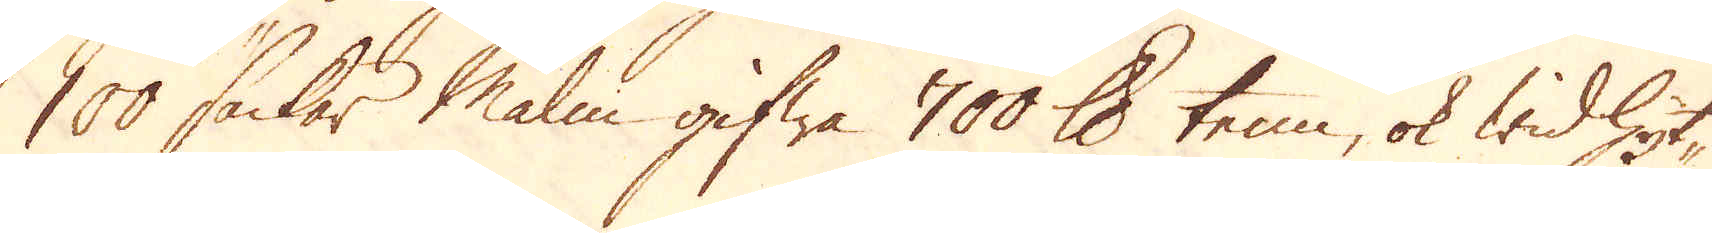100 säckar Malm gifwa 700 skålpund tenn, ok wid hyt-
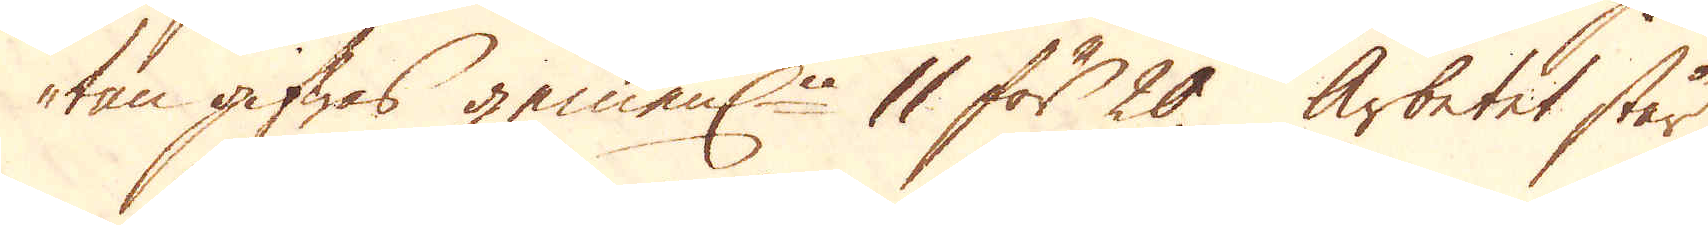tan gifwas gemenl:n 11 för 20. Arbetet står
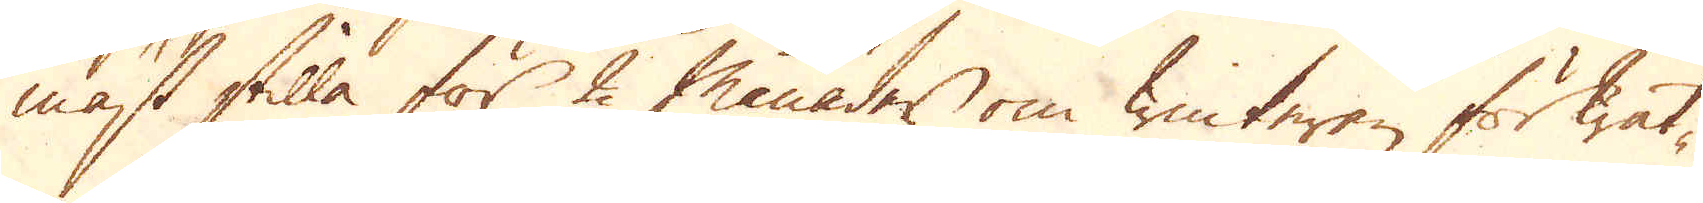mäst stilla för 2 månader om winteren för wat-
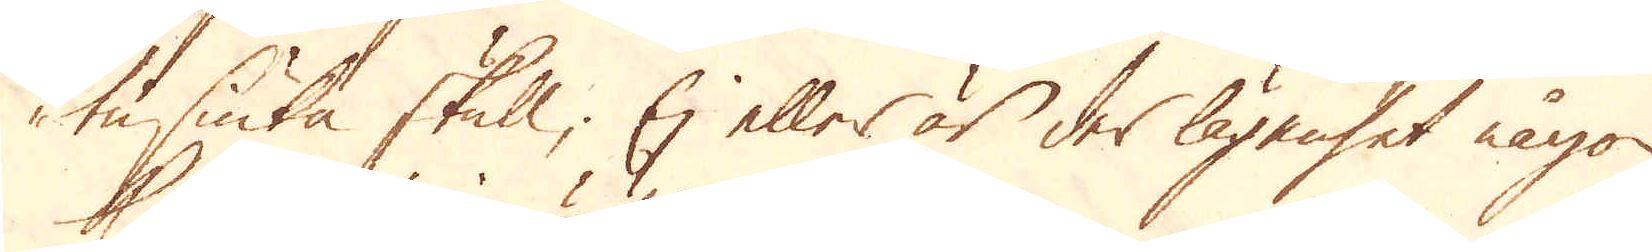tu-siuka skull; Ej eller är der lägenhet någon
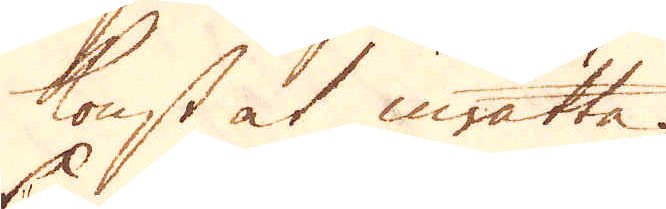konst at inrätta.
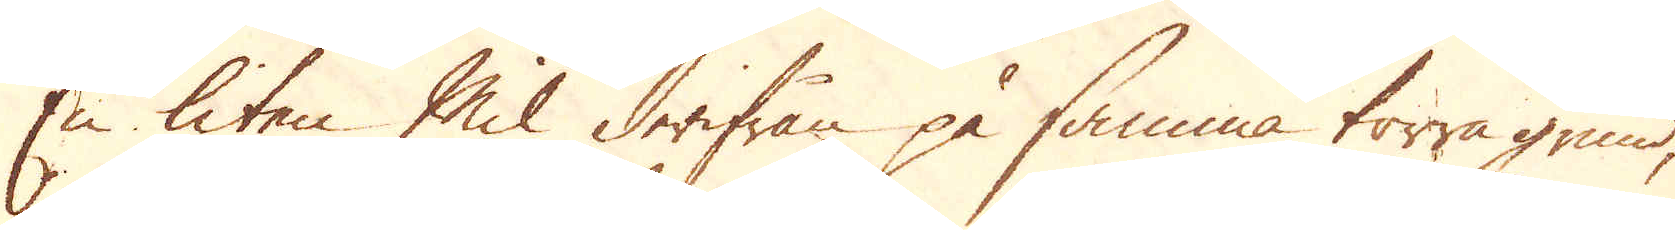En liten Mil derifrån på samma torra grund,
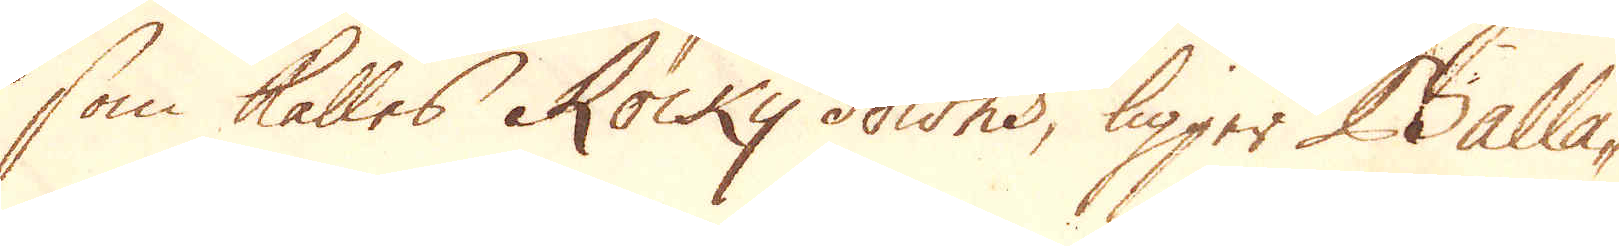som kallas Rocky downs, ligger Balla-
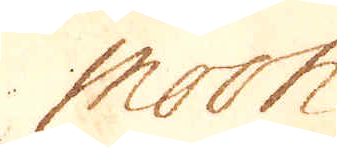moon
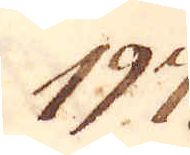197.
